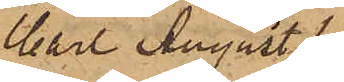Carl August 
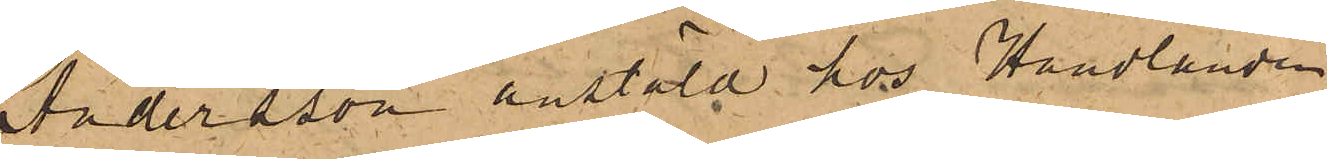Andersson anstäld hos Handlanden
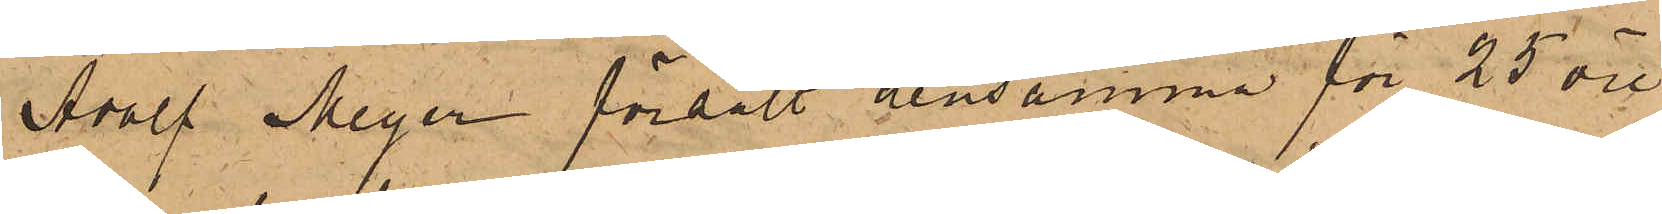Adolf Meyer försålt densamma för 25 öre
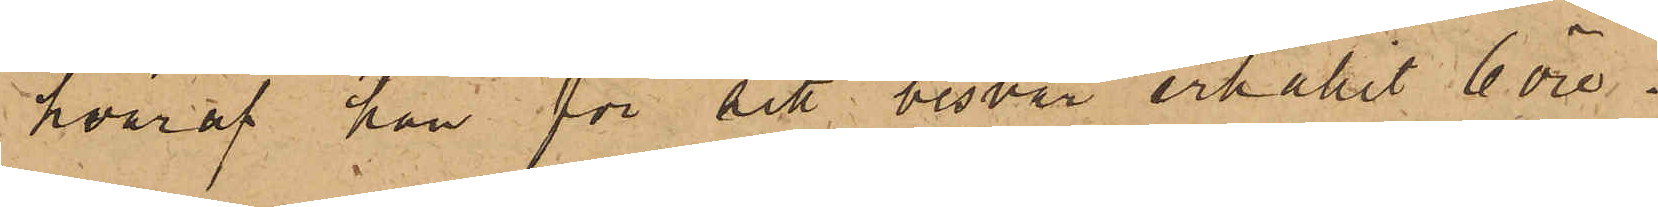hvaraf han för sitt besvär erhållit 6 öre.
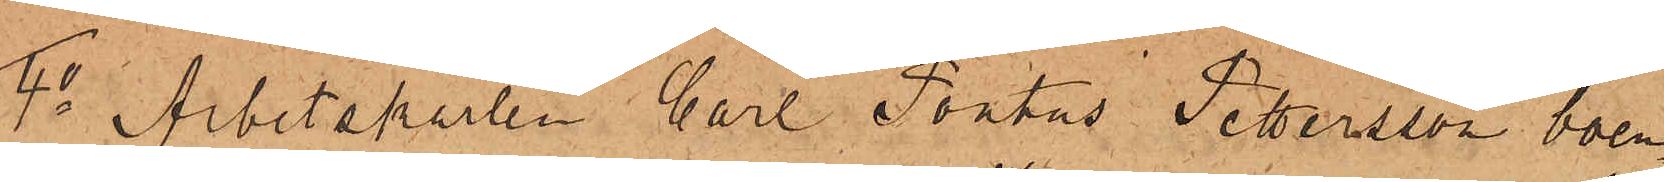4o Arbetskarlen Carl Pontus Pettersson boen¬
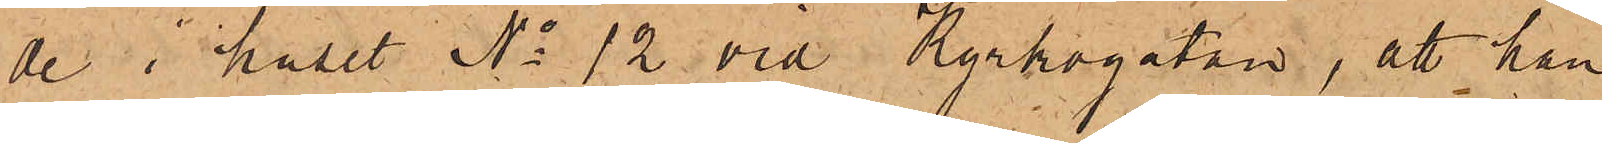de i huset No 12 vid Kyrkogatan, att han
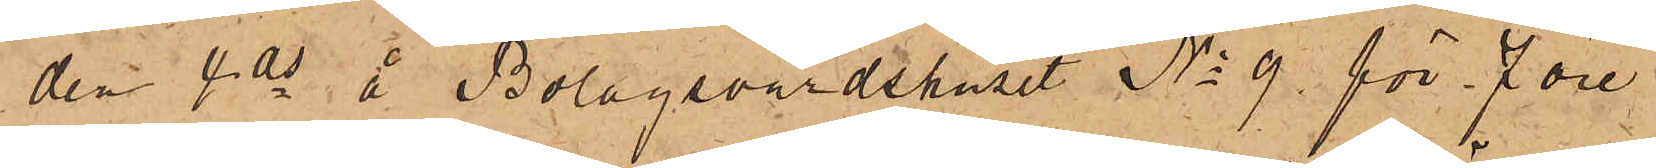den 4 ds å Bolagsvärdshuset No 9 för 7 öre
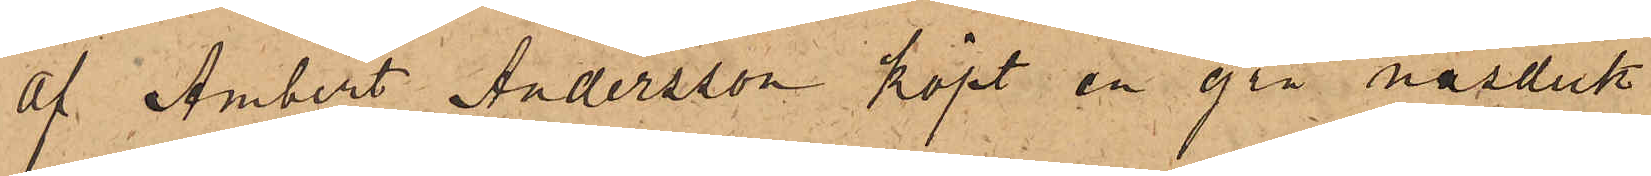af Ambert Andersson köpt en grå näsduk
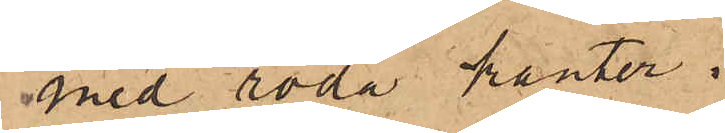med röda kanter.
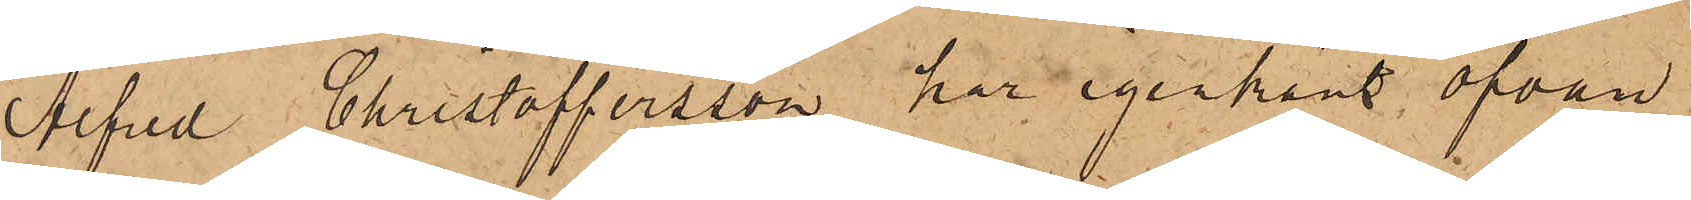Alfred Christoffersson har igenkänt ofvan
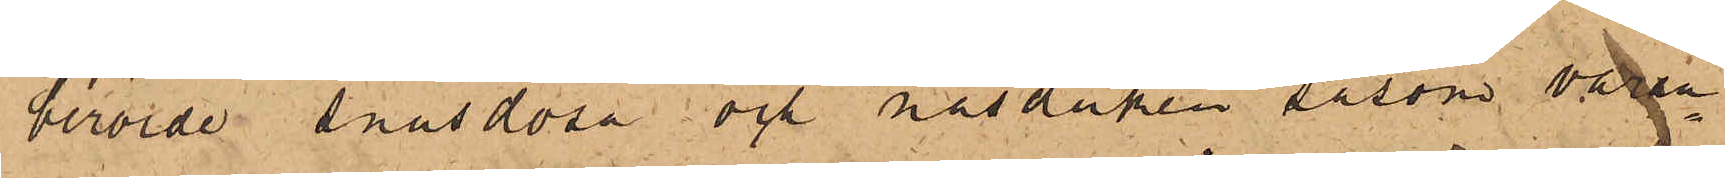berörde snusdosa och näsduken såsom varan¬
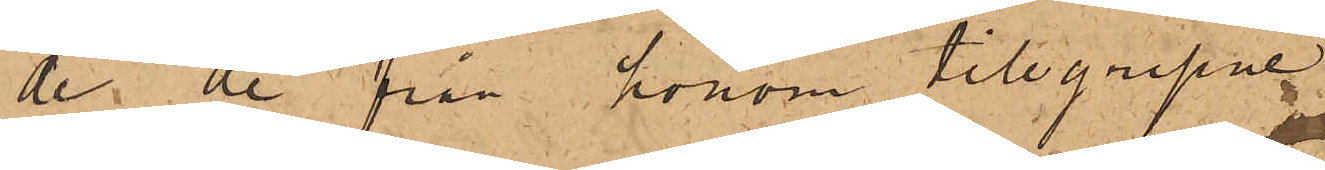de de från honom tillgripne.
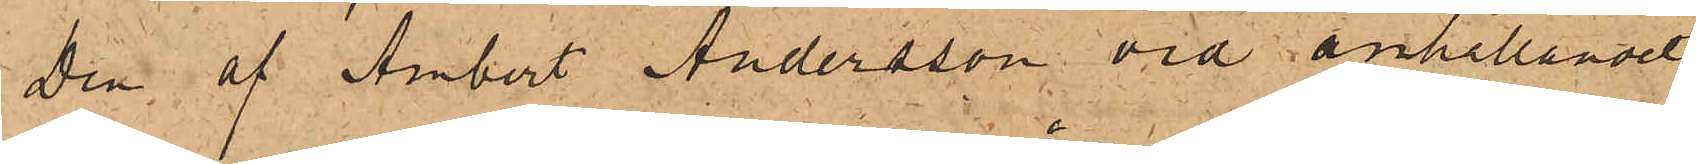Den af Ambert Andersson vid anhållandet
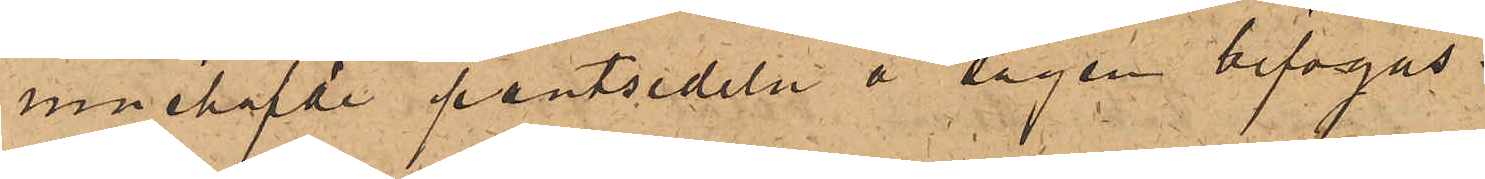innehafvde pantsedeln å Sågen bifogas.
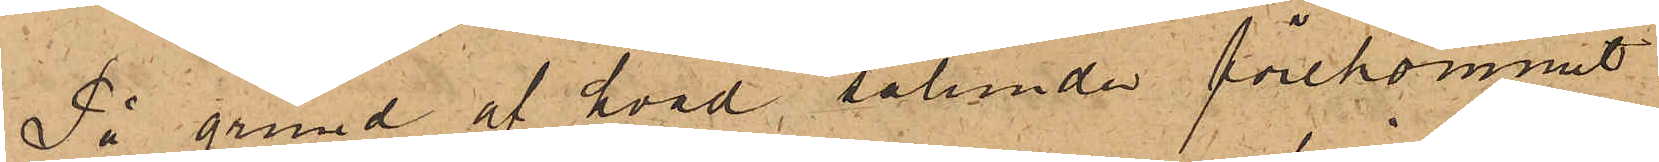På grund af hvad sålunda förekommit
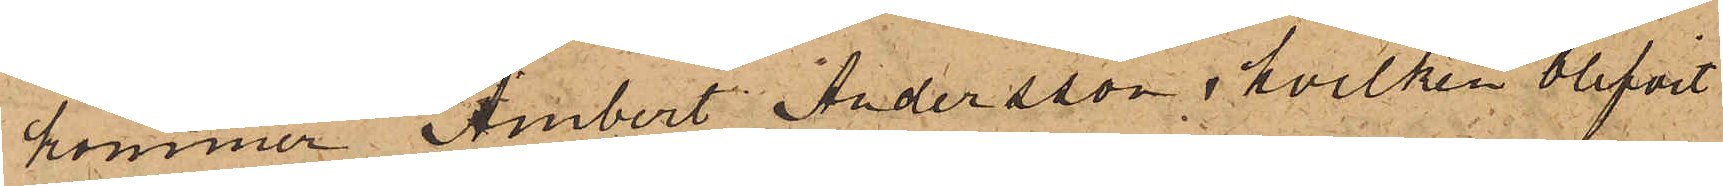kommer Ambert Andersson, hvilken blifvit
